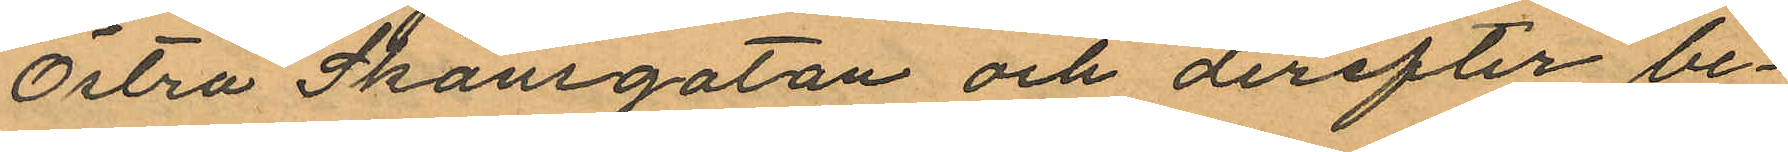Östra Skansgatan och derefter be¬
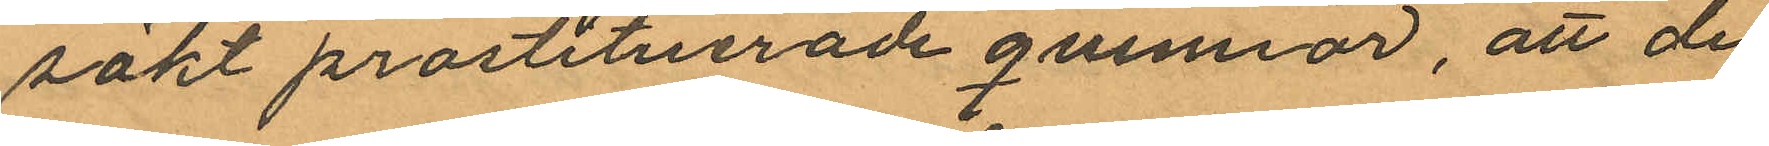sökt prostituerade qvinnor, att de
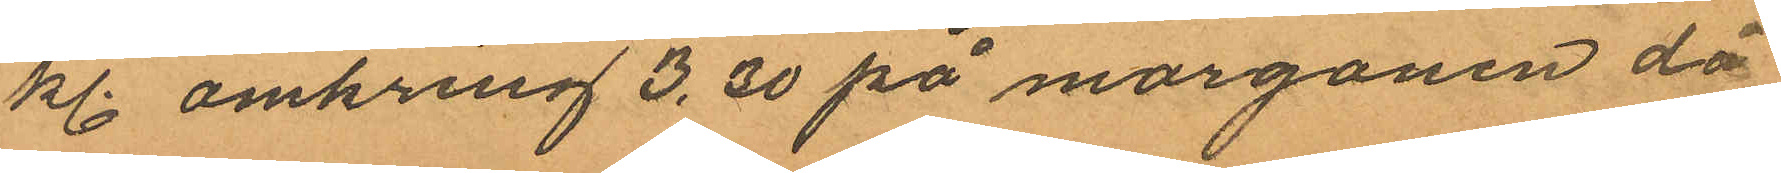kl. omkring 3,30 på morgonen då
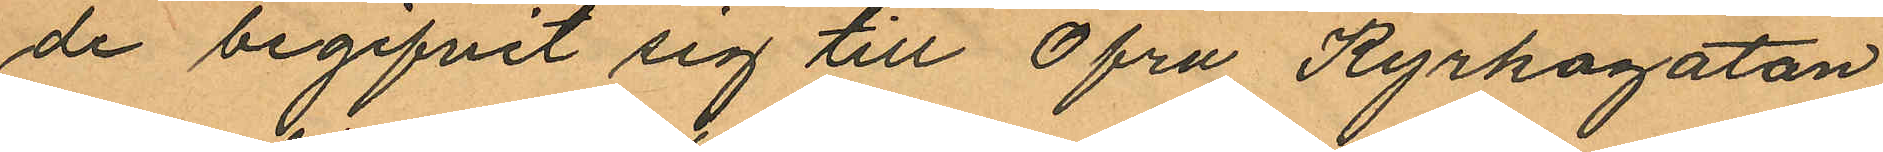de begifvit sig till Öfra Kyrkogatan
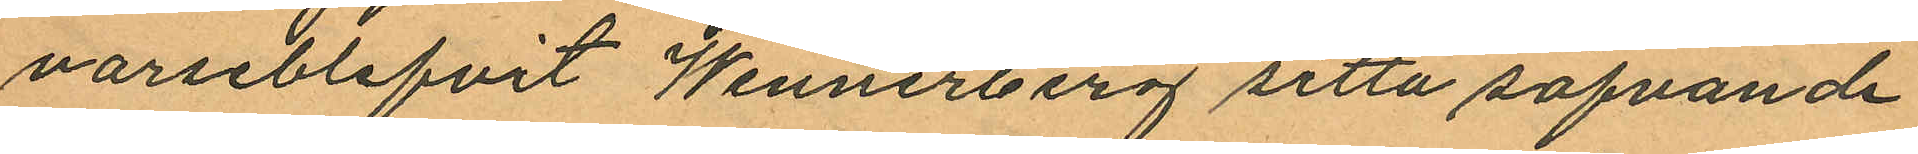varseblifvit Wennerberg sitta sofvande
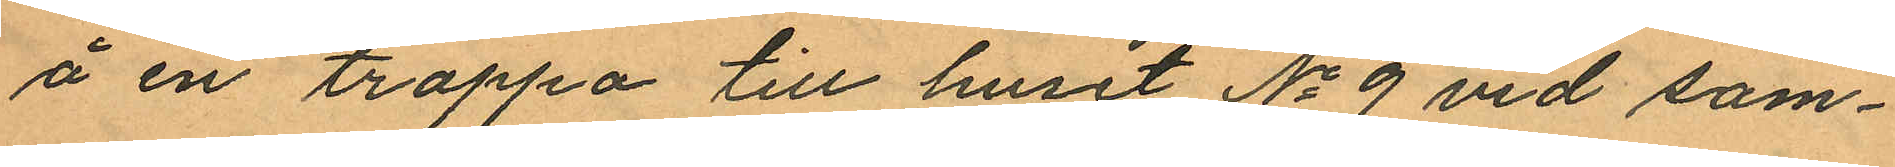å en trappa till huset No 9 vid sam¬
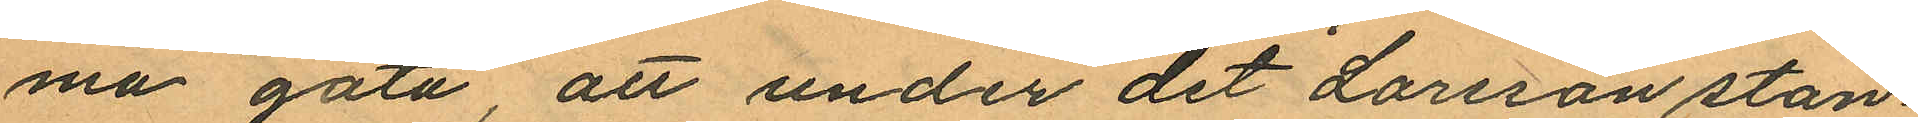ma gata, att under det Larsson stan¬
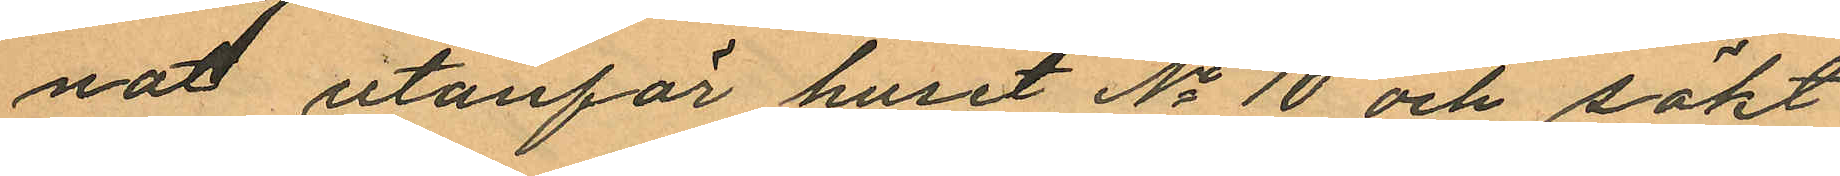nat utanför huset No 10 och sökt
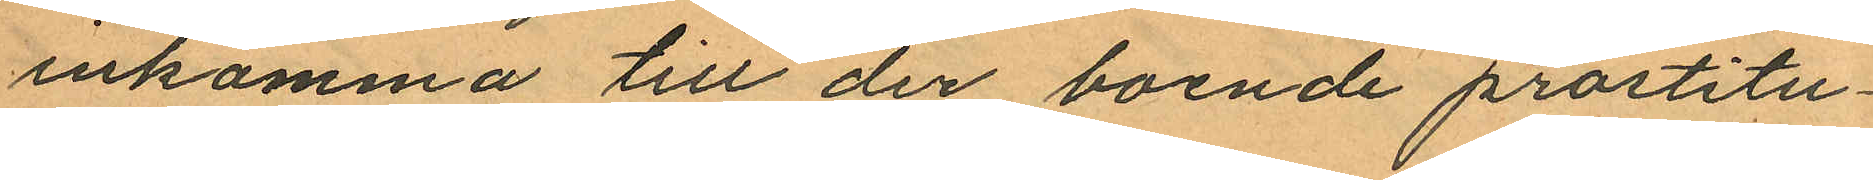inkomma till der boende prostitu¬
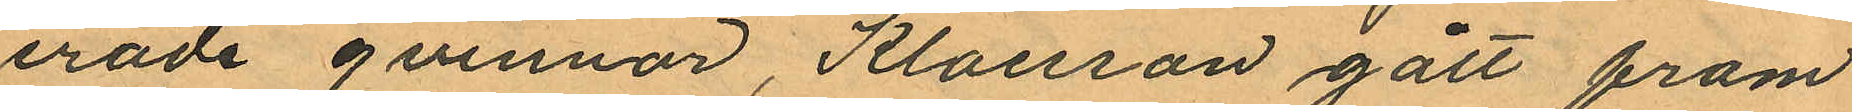erade qvinnor, Klaesson gått fram
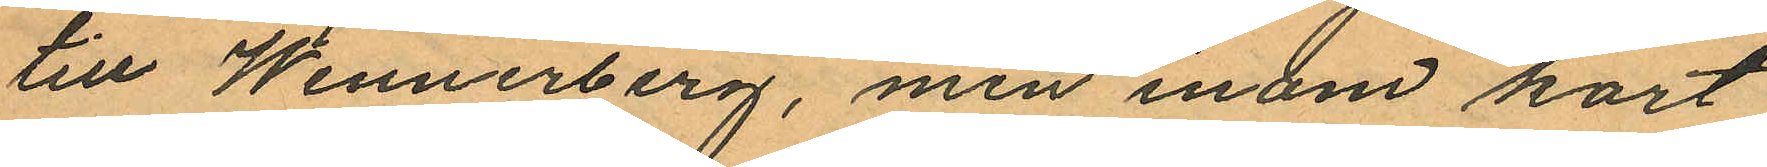till Wennerberg, men inom kort
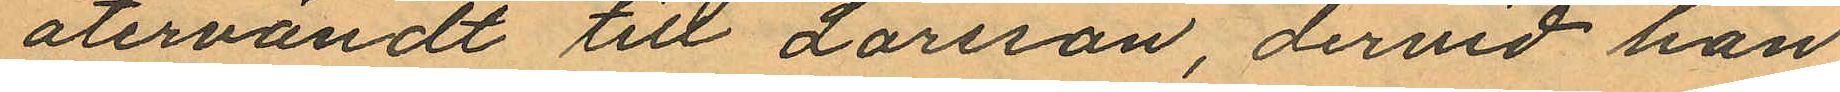återvändt till Larsson, dervid han
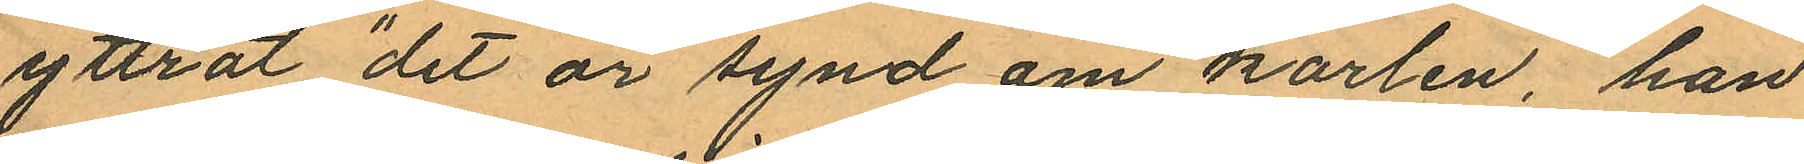yttrat "det är synd om karlen, han
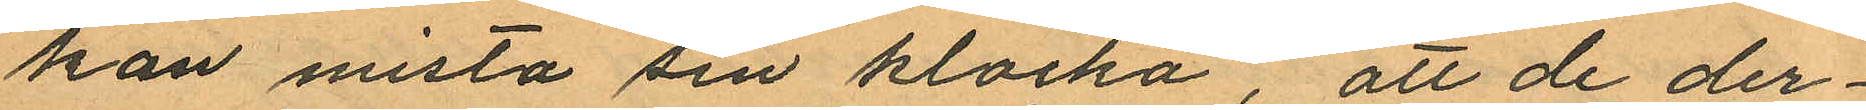kan mista sin klocka", att de der
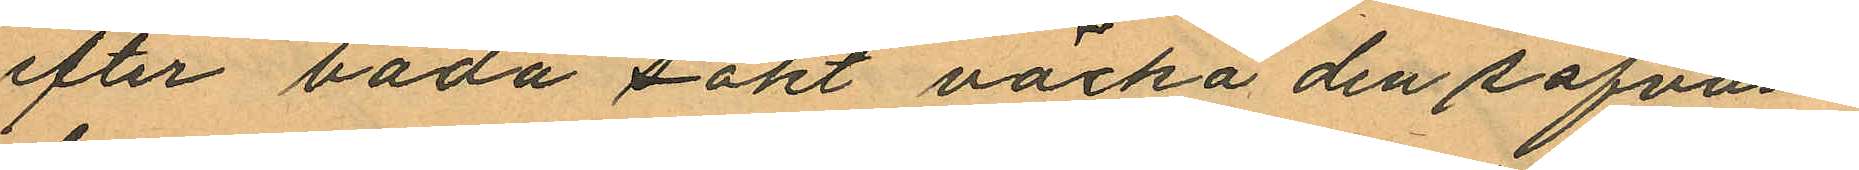efter båda sökt väcka den sofvan
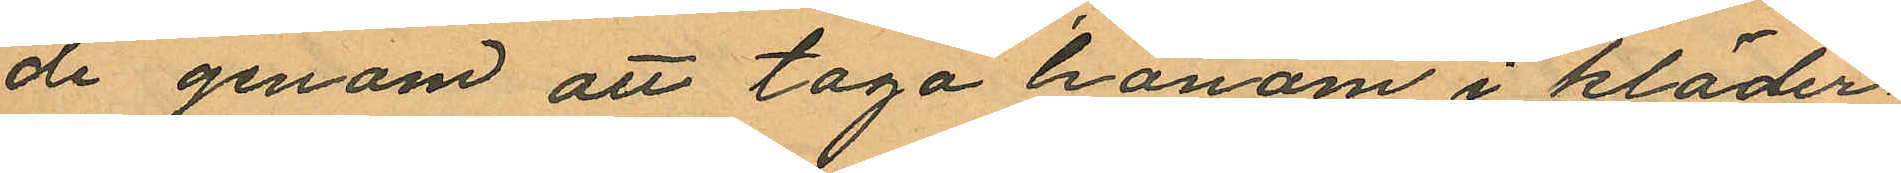de genom att taga honom i kläder
